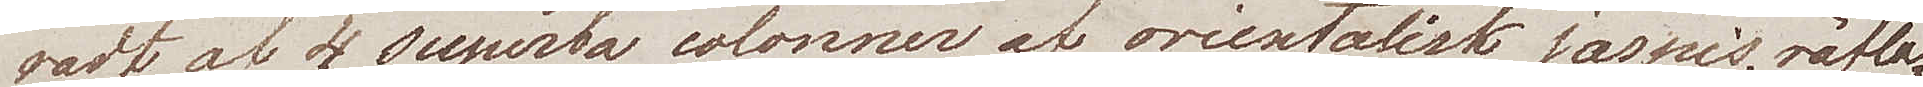radt af 4 superba colonner af orientalisk jaspis, räfla¬
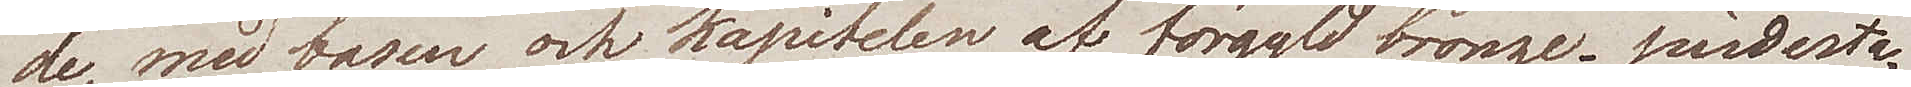de med basen och kapitelen af förgyld bronze, piedesta¬
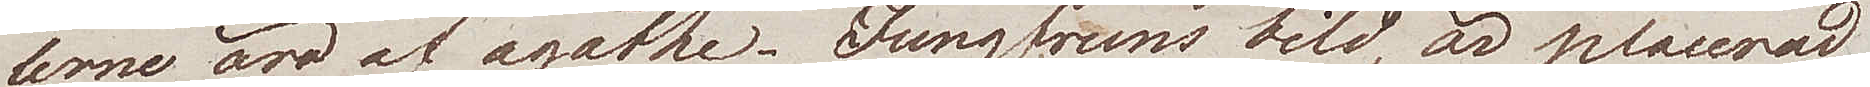lerne äro af agathe. Jungfruns bild, är placerad
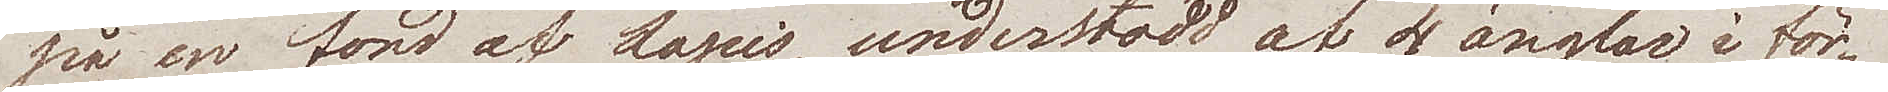på en fond af Lapis, understödd af 4 änglar i för¬
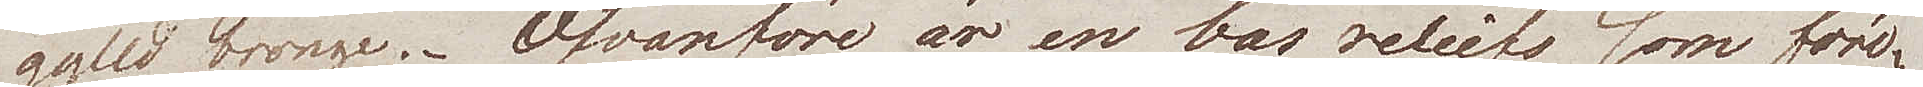gylld bronze. Ofvanföre är en bas reliefs som före¬
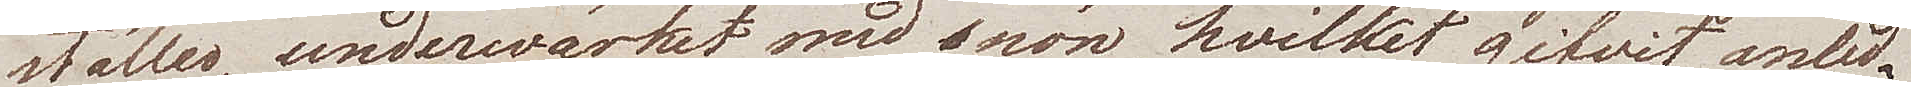ställer, underwärket med snön, hvilket gifvit anled¬
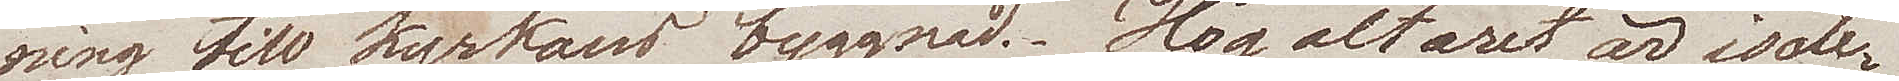ning till kyrkans byggnad. Högaltaret är isole¬
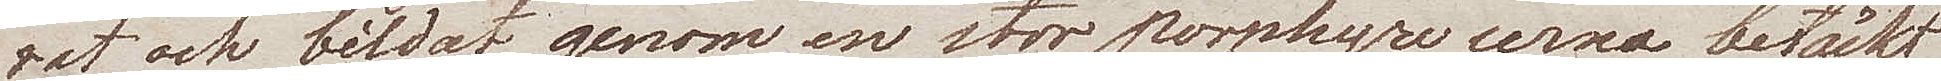rat och bildat genom en stor porphyre urna betäckt
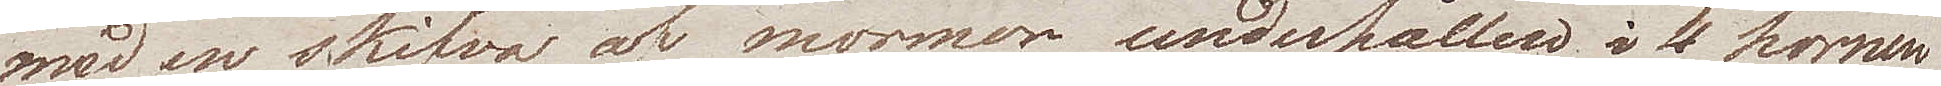med en skifva af marmor, underhållen i 4 hörnen
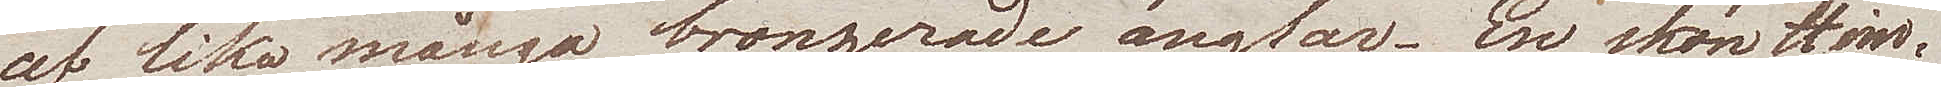af lika många bronzerade änglar. En skön Him¬
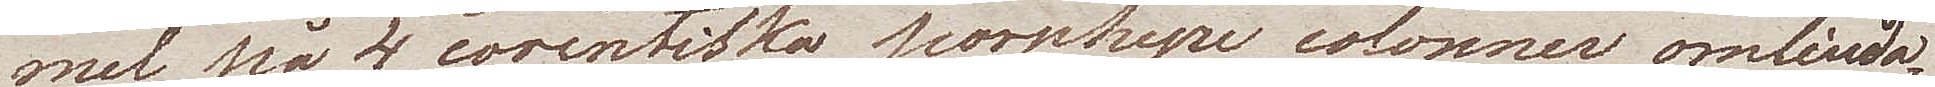mel på 4 corinthiska porphyre colonner omlinda¬
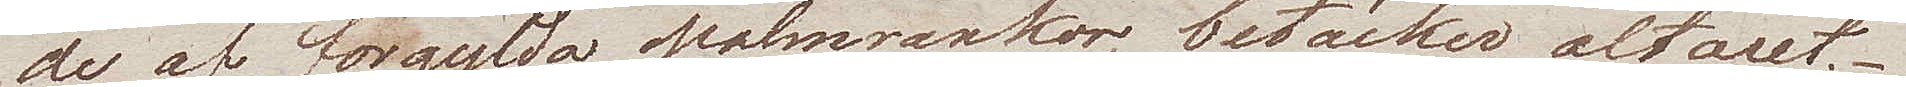de af förgylda palmrankor, betäcker altaret.
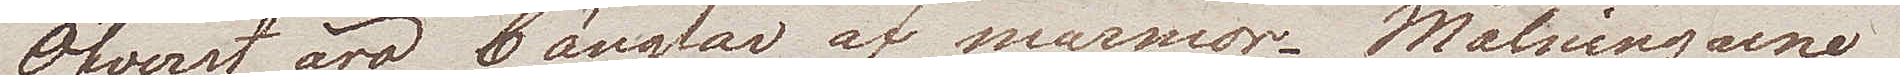Öfverst äro 6 änglar af marmor. Målningarne
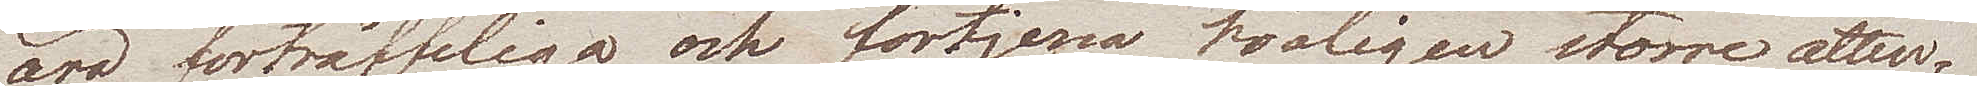äro förträffliga och förtjenar troligen större atten¬
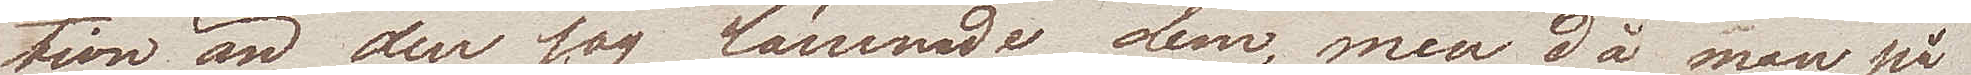tion än den jag lämnade dem, men då man på
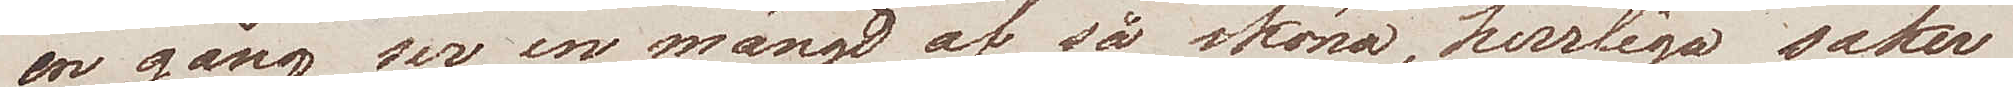en gång ser en mängd af så sköna, herrliga saker
